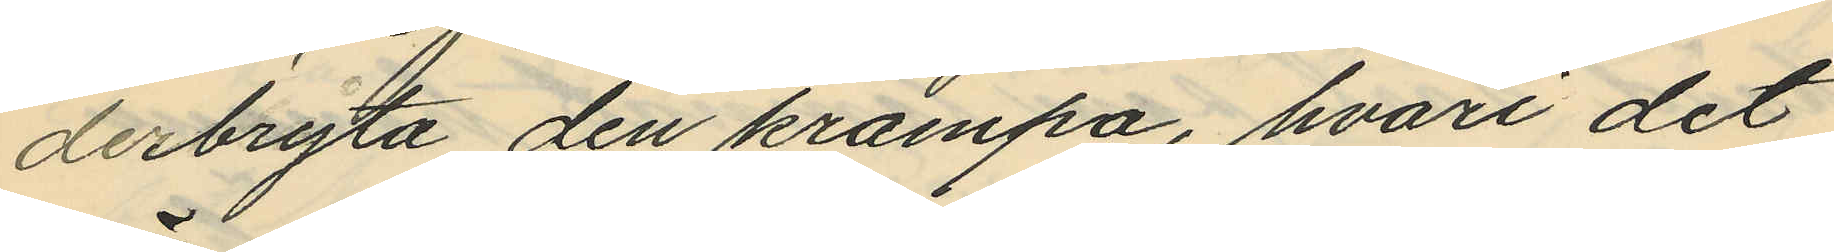derbryta den krampa, hvari det
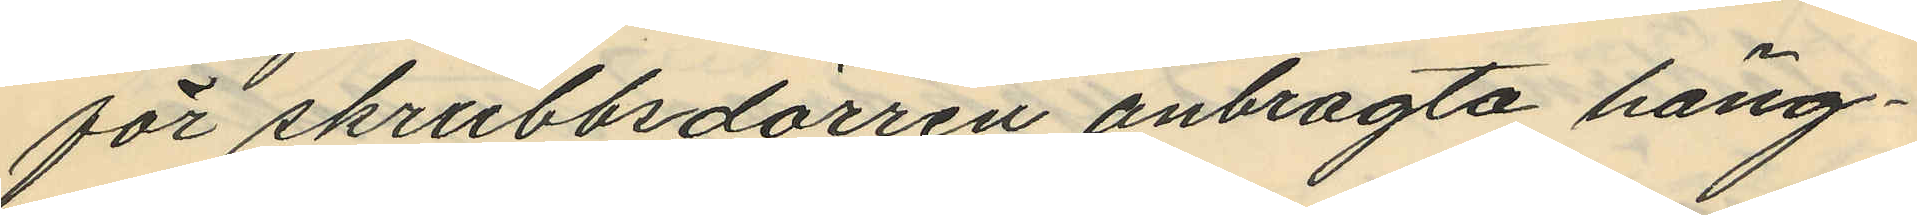för skrubbsdörren anbragta häng¬
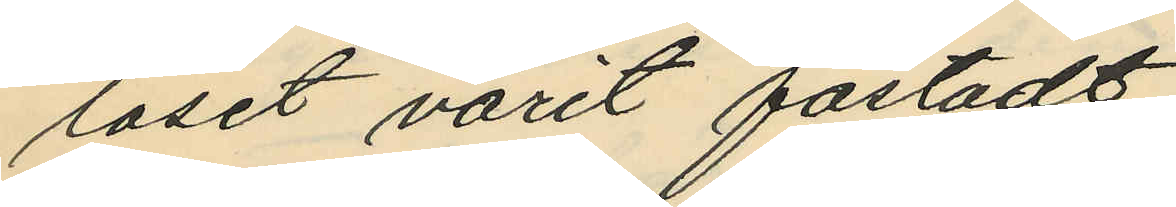låset varit fästadt
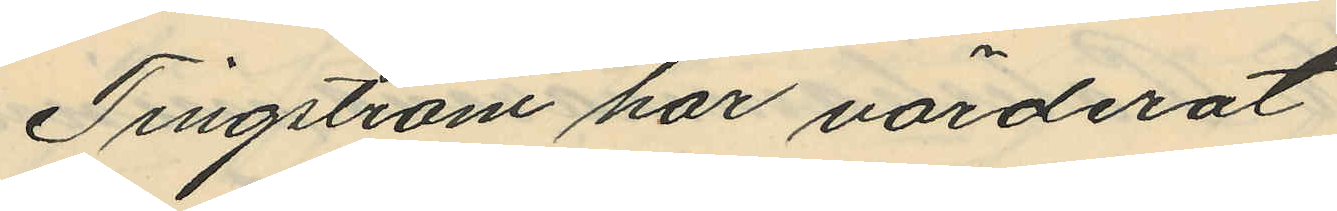Tingström har värderat
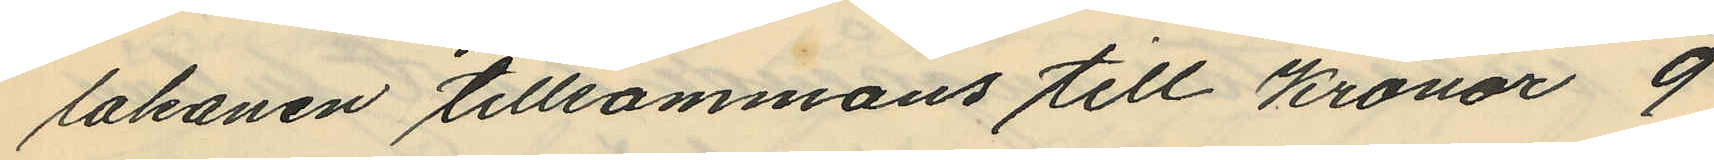lakanen tillsammans till Kronor 9
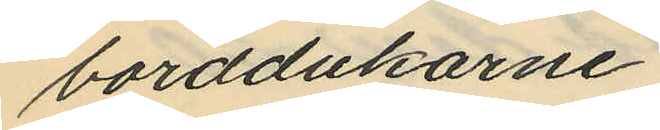borddukarne
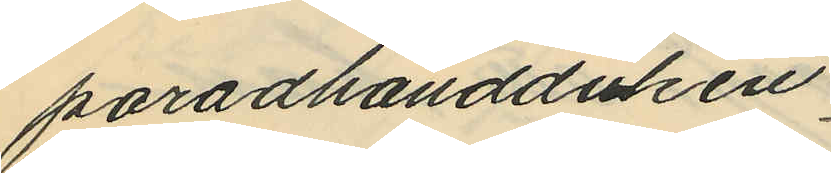paradhandduken.
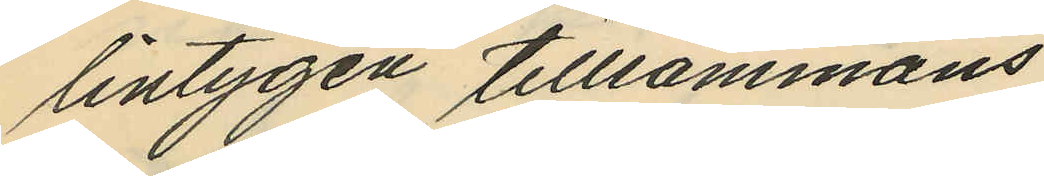lintygen tillsammans
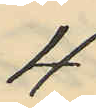4
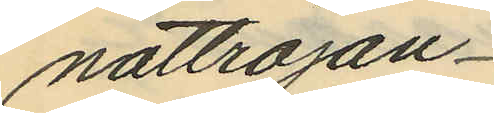nattröjan
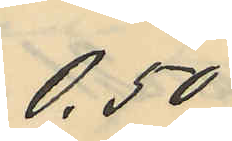0,50
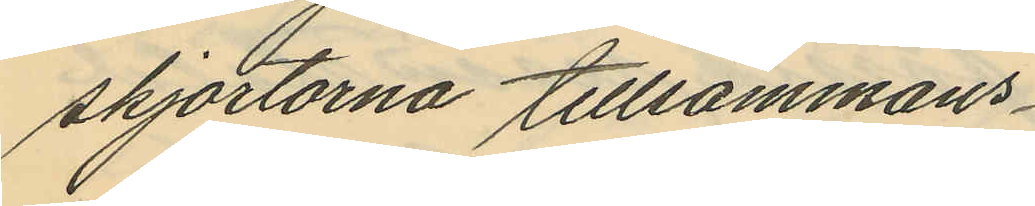skjortorna tillsammans
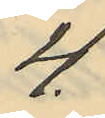4
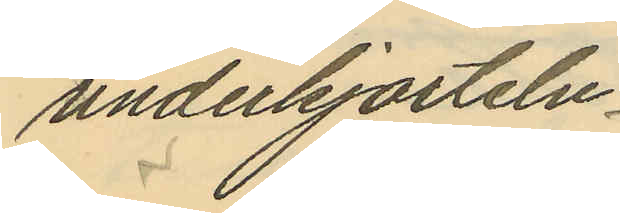underkjorteln
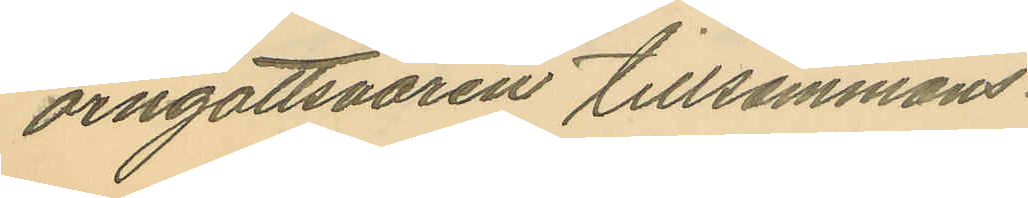örngottsvaren tillsammans
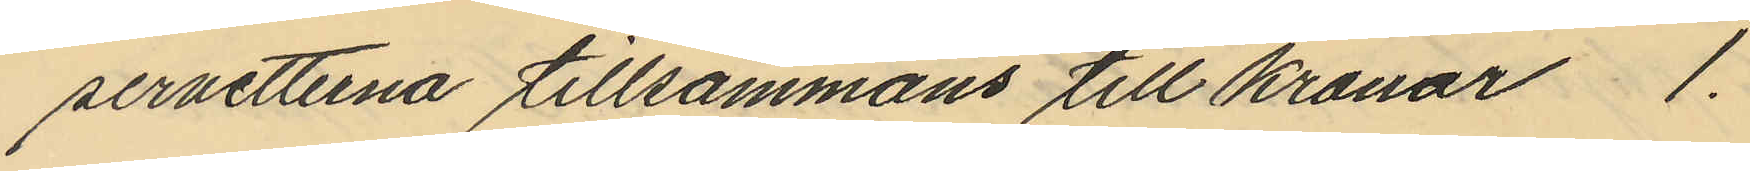servetterna tillsammans till kronor 1.
